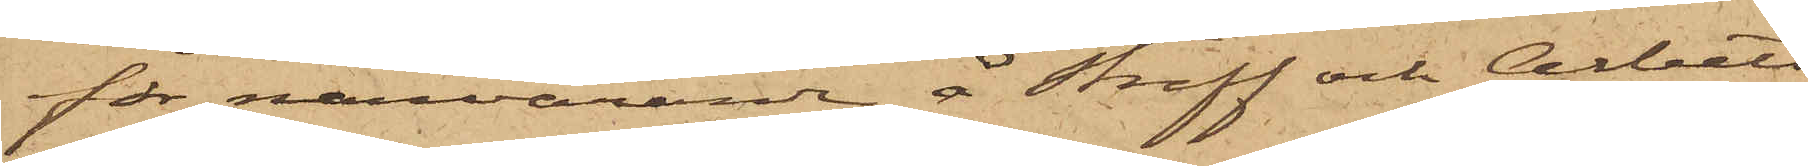för närvarande å Straff och Arbets¬
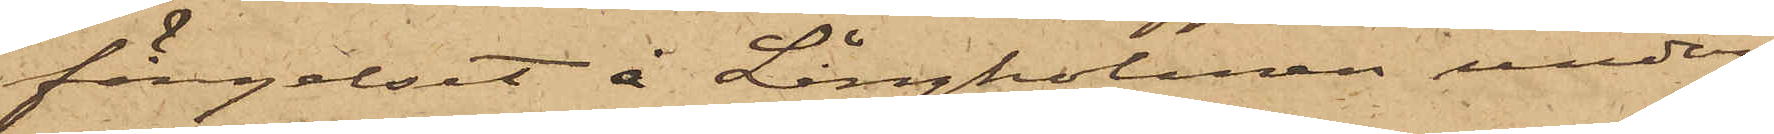fängelset å Långholmen under¬
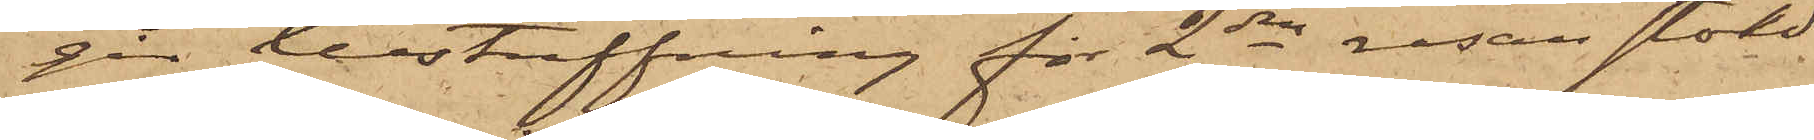går bestraffning för 2dra resan stöld,
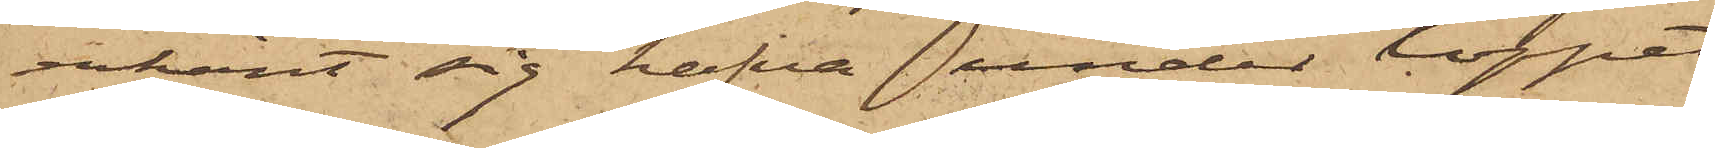erkänt sig hafva under loppet
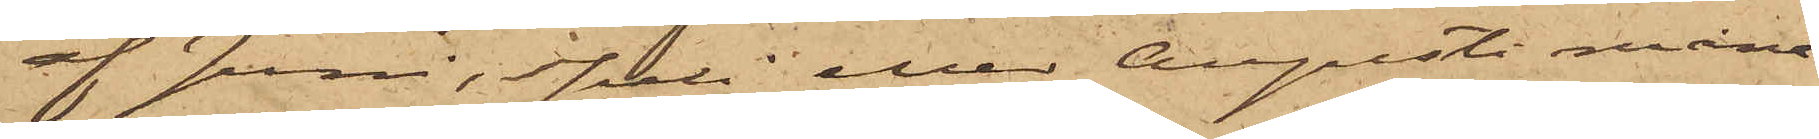af Juni, Juli eller Augusti måna¬
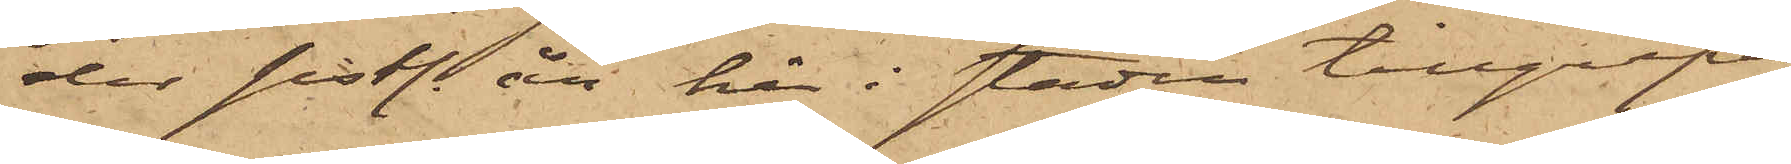der sistl. år här i staden tillgripit
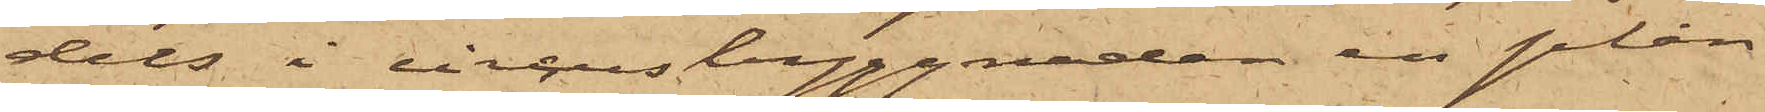dels i circusbyggnaden en plån¬
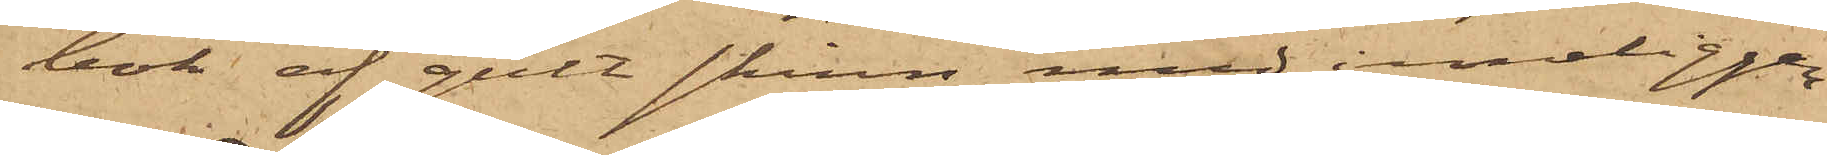bok af gult skinn med inneliggan¬
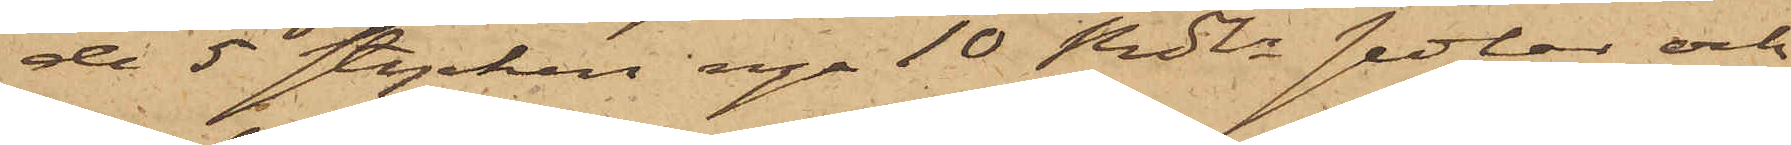de 5 stycken nya 10 Rdlr sedlar och
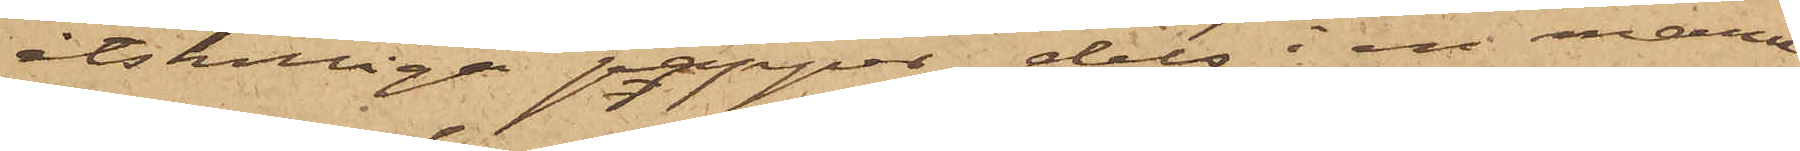åtskilliga papper dels i en manu¬
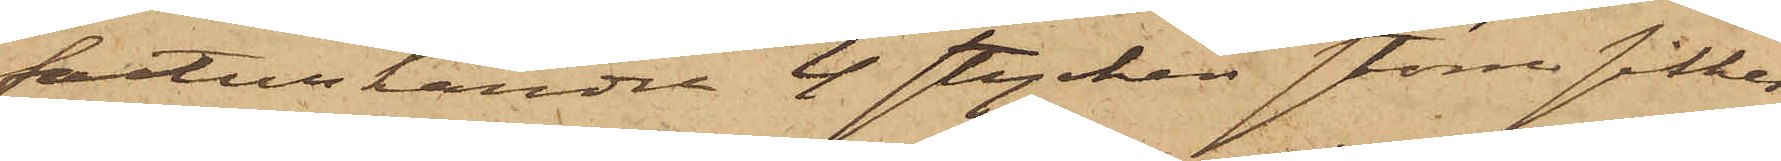fakturhandel 4 stycken större silkes¬
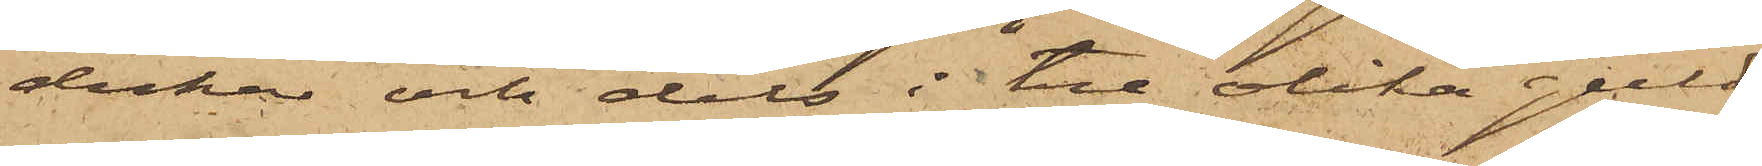dukar och dels i tre olika guld¬
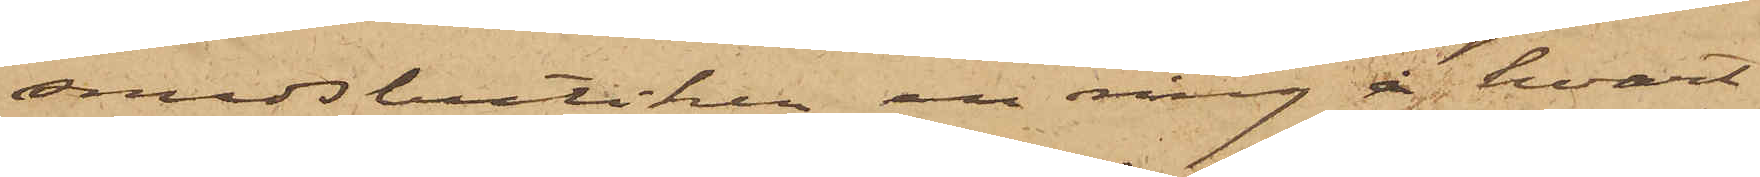smedsbutiker en ring å hvart¬
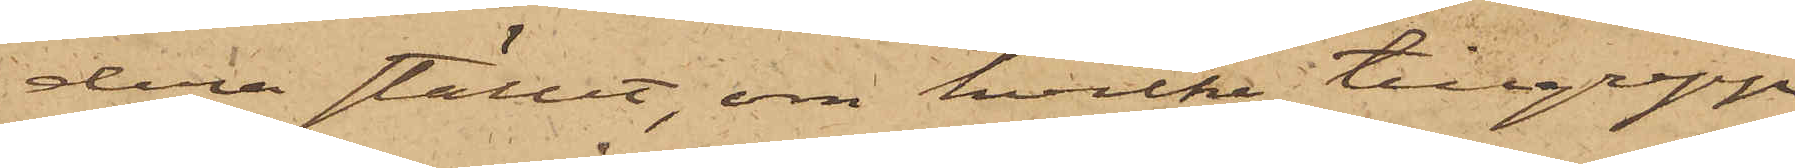dera stället, om hvilka tillgrepp
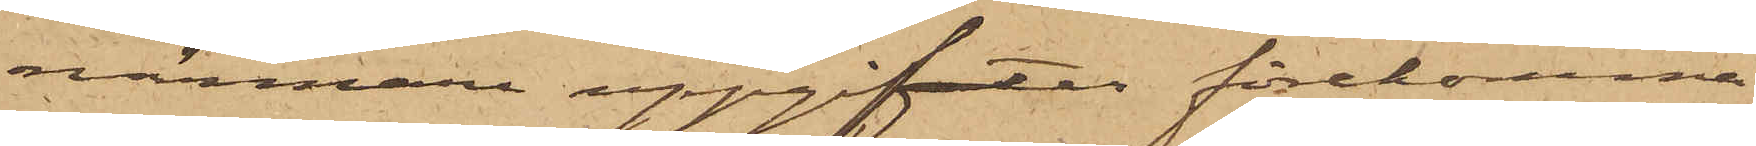närmare uppgifter förekomma
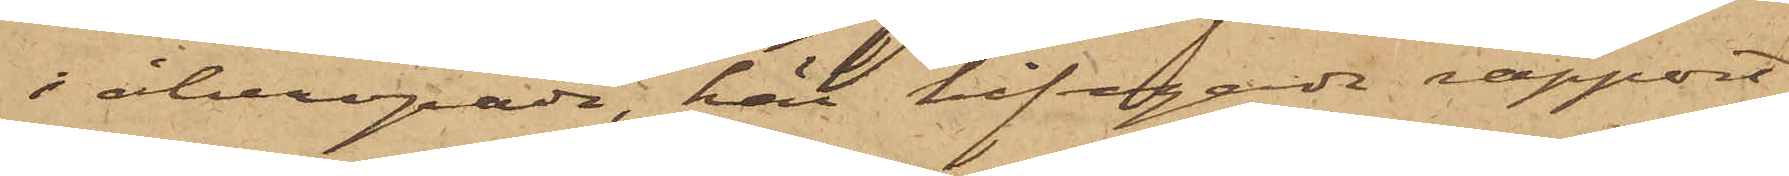i åberopade, här bifogade rapport,
